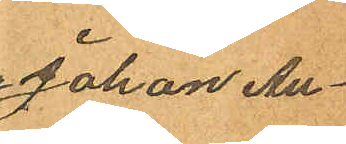Johan Au¬
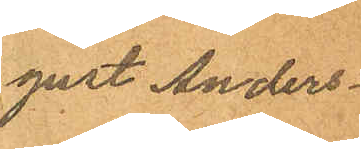gust Anders¬
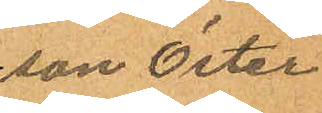son Öster¬
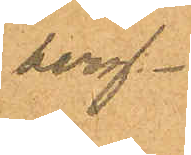berg.
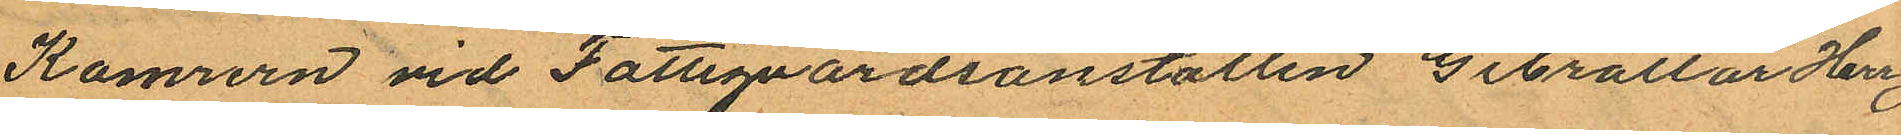Kamrern vid Fattigvardsanstalten Gibraltar Herr
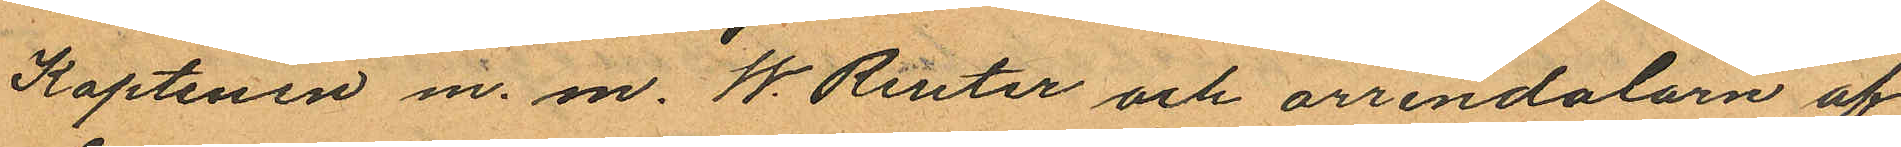Kaptenen m. m. W. Reuter och arrendalorn af
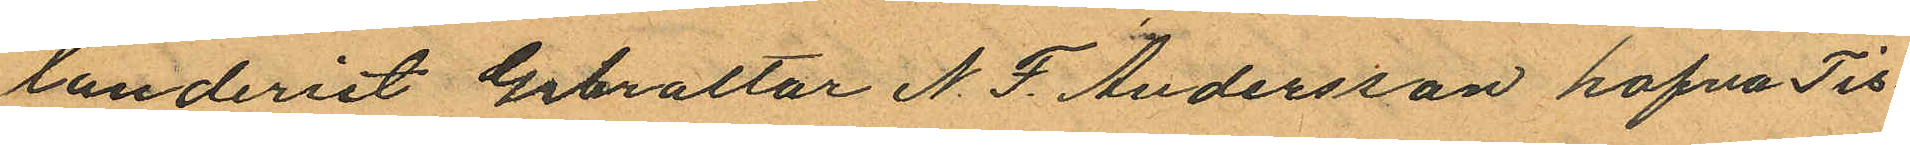landeriet Gibraltar N. F. Andersson hafva Tis¬
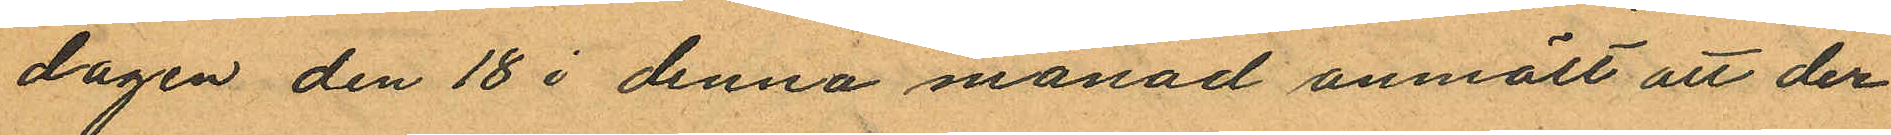dagen den 18 i denna månad anmält att der
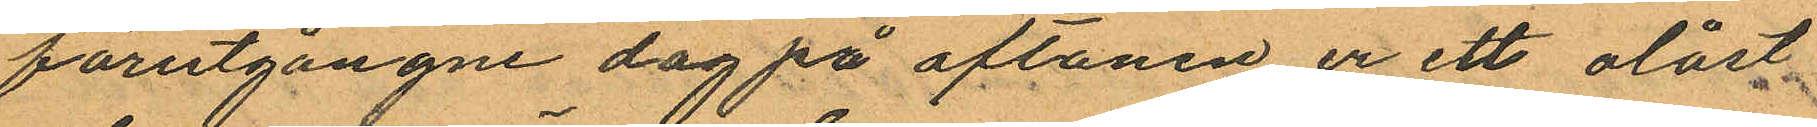förutgångne dag på aftonen ur ett olåst
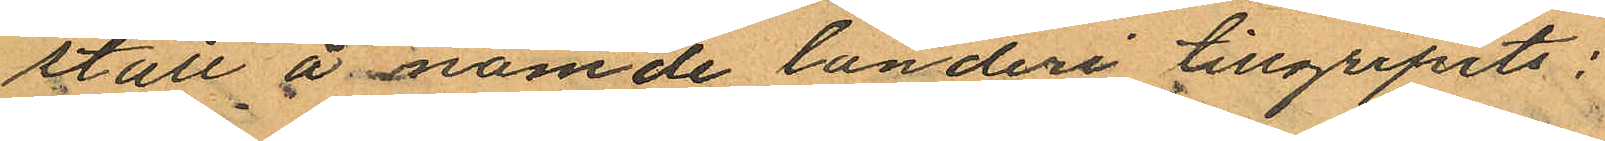stall å nämde landeri tillgripits:
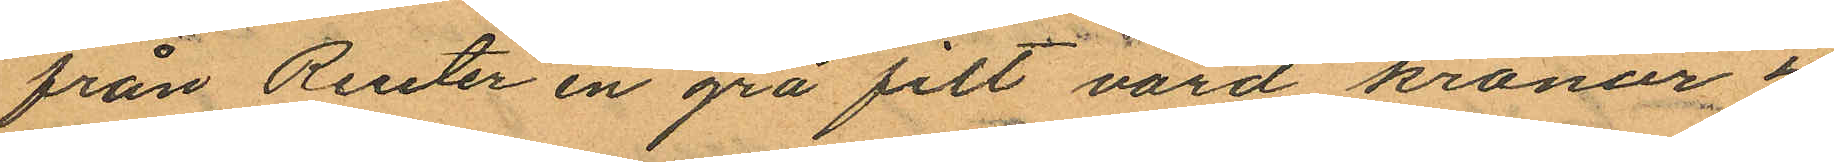från Reuter en grå filt värd kronor 4
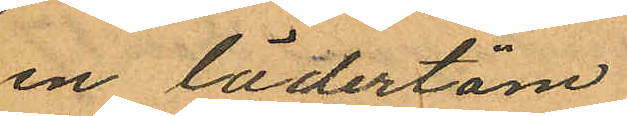en lädertöm
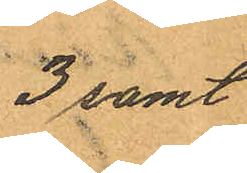3 samt
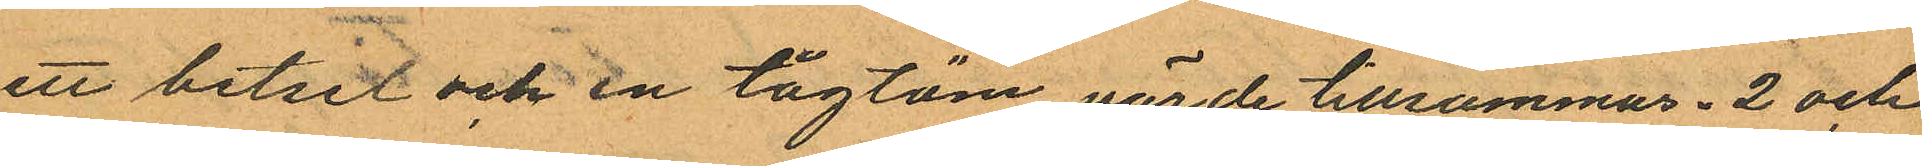ett betsel och en tågtöm värde tillsammas " 2 och
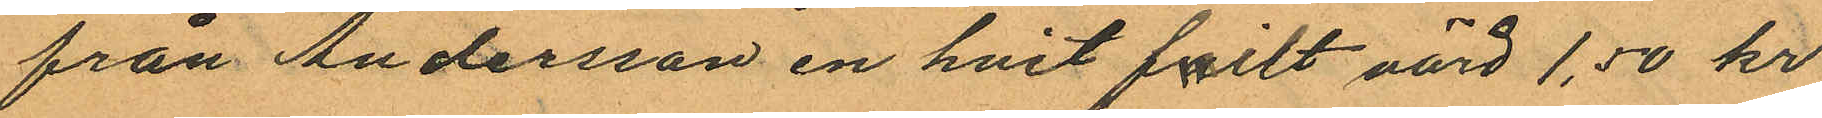från Andersson en hvit failt värd 1,50 kr
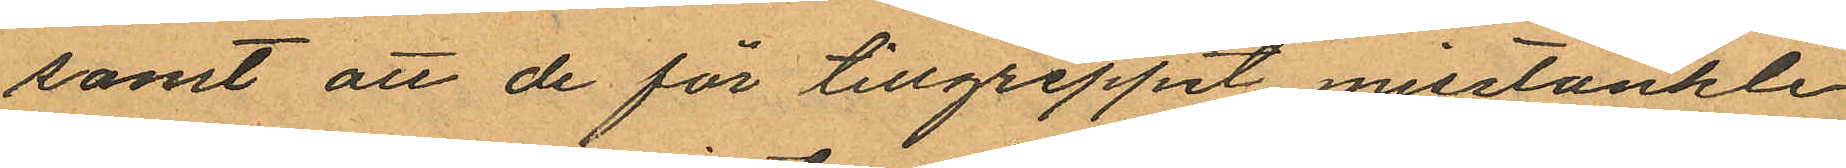samt att de för tillgreppit misstänkte
